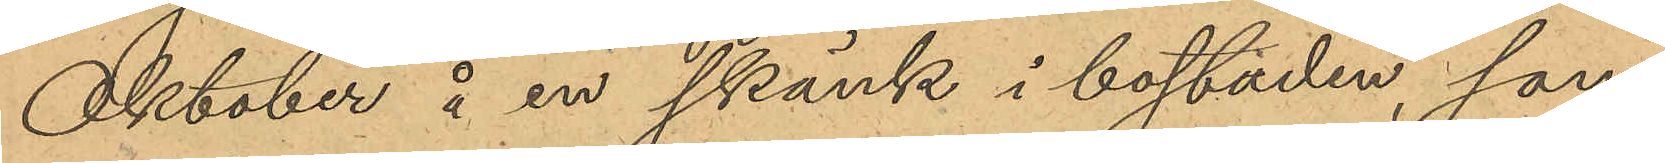Oktober å en skänk i bostaden, som
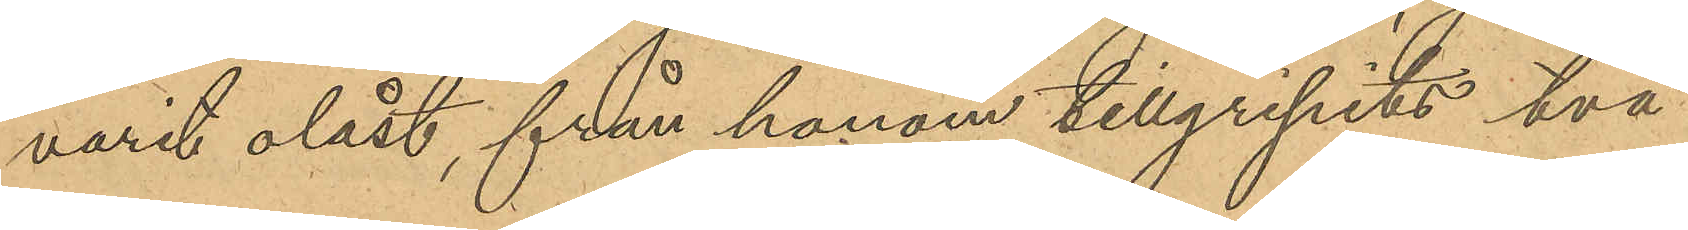varit olåst, från honom tillgripits två
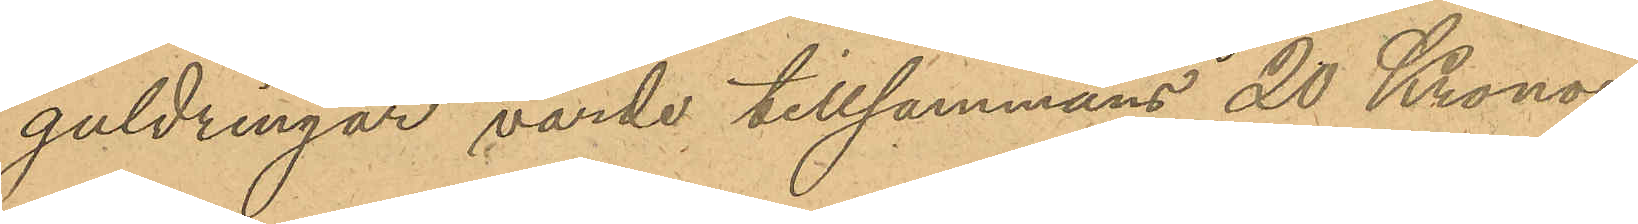guldringar, värde tillsammans 20 Kronor;
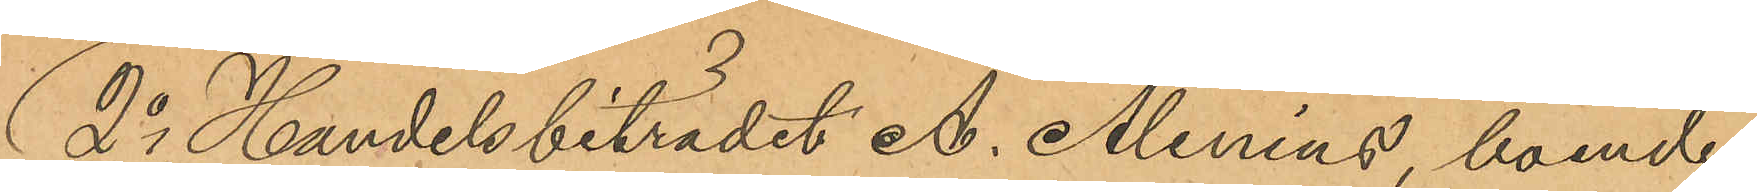2o Handelsbiträdet A. Alenius, boende
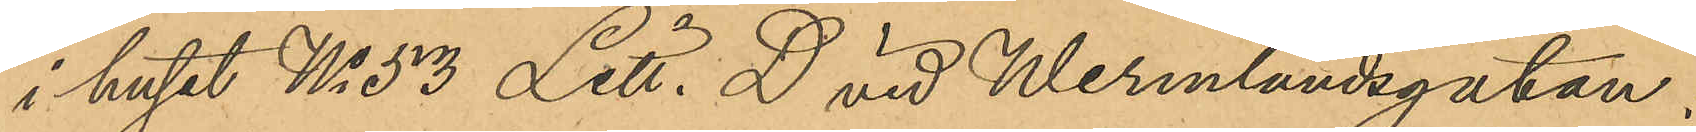i huset No 53 Litt. D vid Wermlandsgatan:
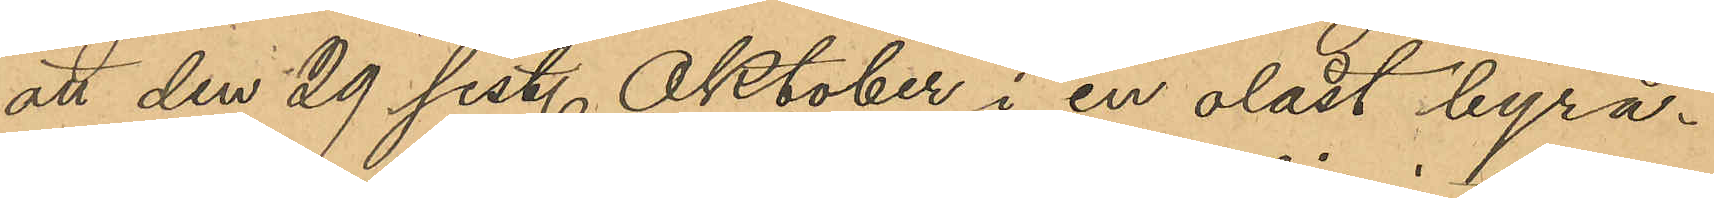att den 29 sist. Oktober i en olåst byrå¬
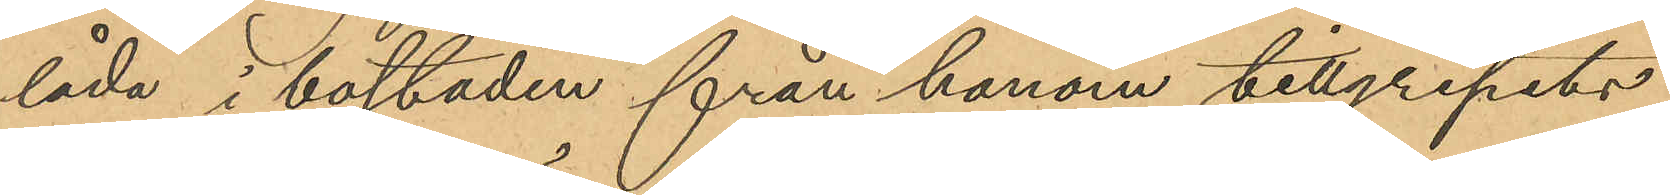låda i bostaden från honom tillgripits
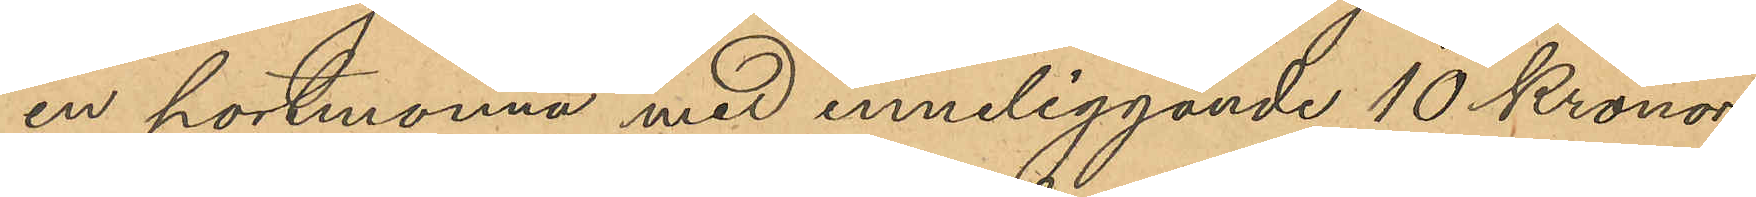en portmonnä med inneliggande 10 Kronor
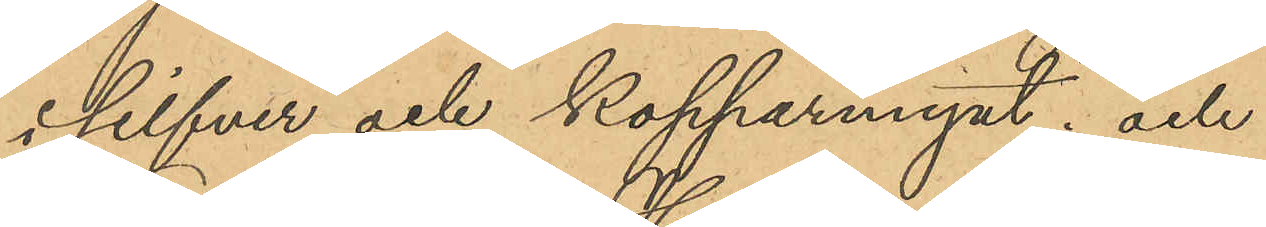i silfver och kopparmynt; och
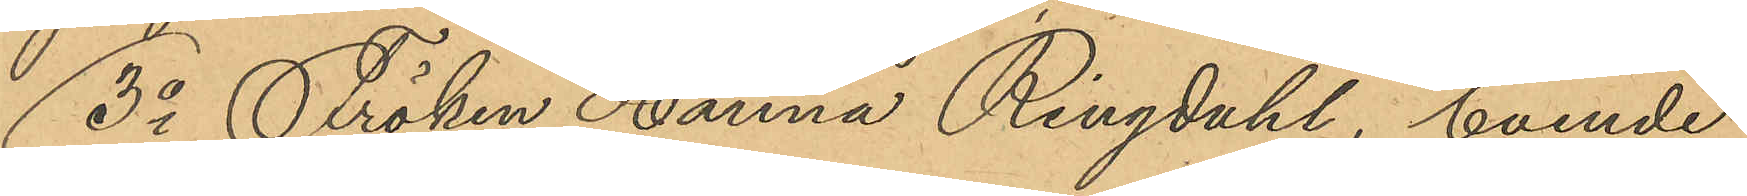3o Fröken Hanna Ringdahl, boende
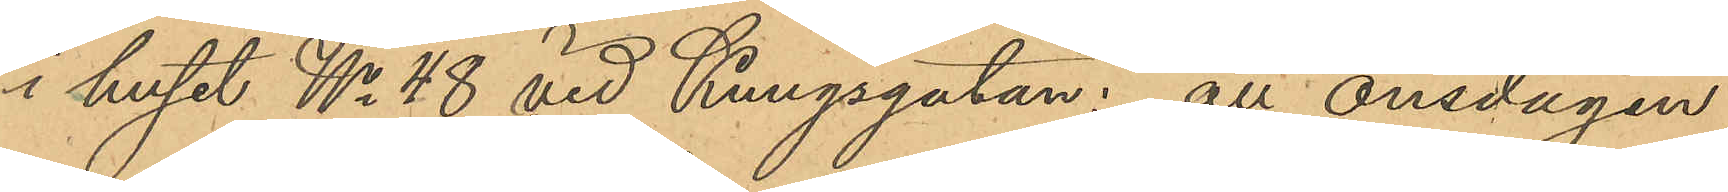i huset No 48 vid Kungsgatan: att onsdagen
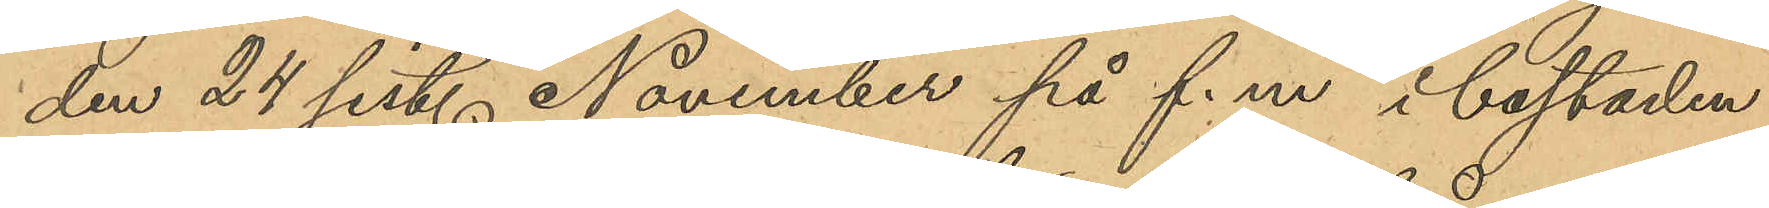den 24 sist. November på f.m. i bostaden,
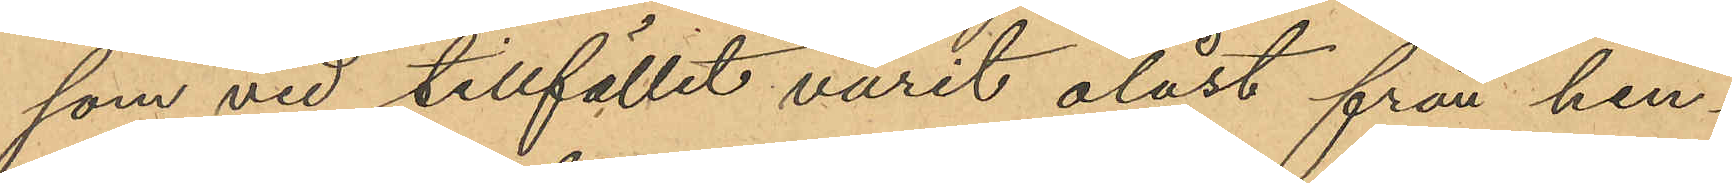som vid tillfället varit olåst från hen¬
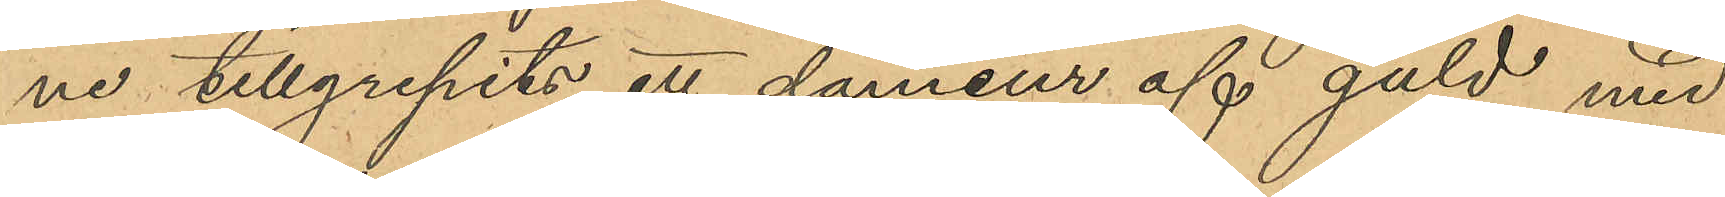ne tillgripits ett dameur af guld med
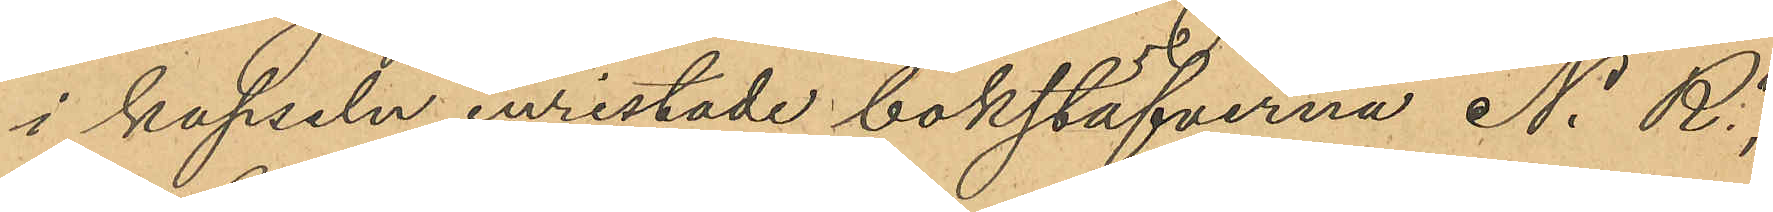i kapseln inristade bokstäfverna "N. R",
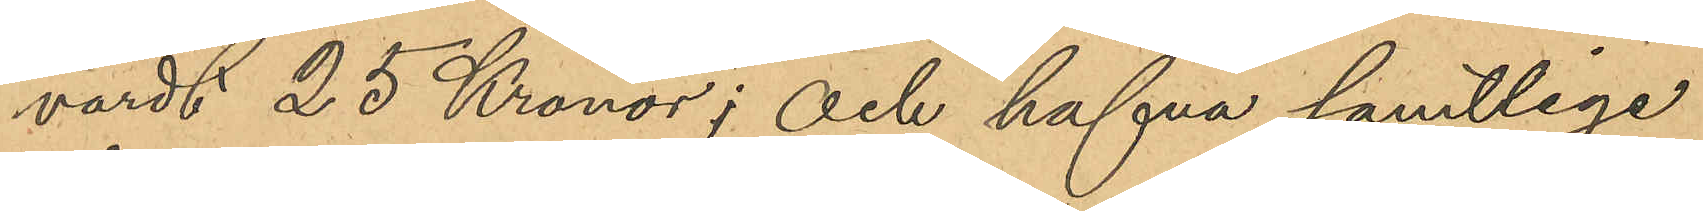värdt 25 Kronor; och hafva samtlige
